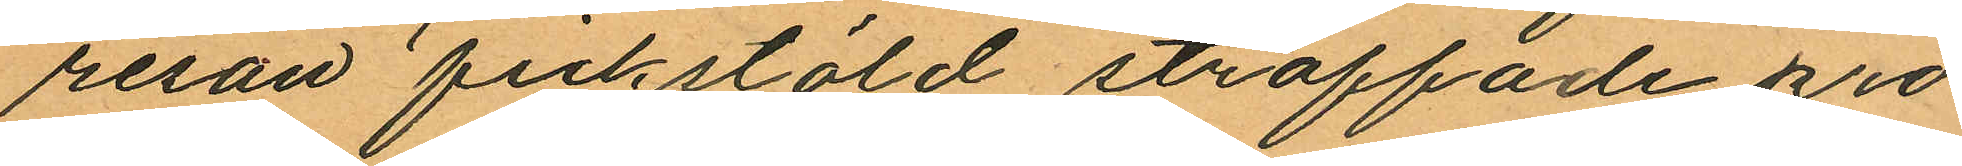resan fickstöld straffade pro¬
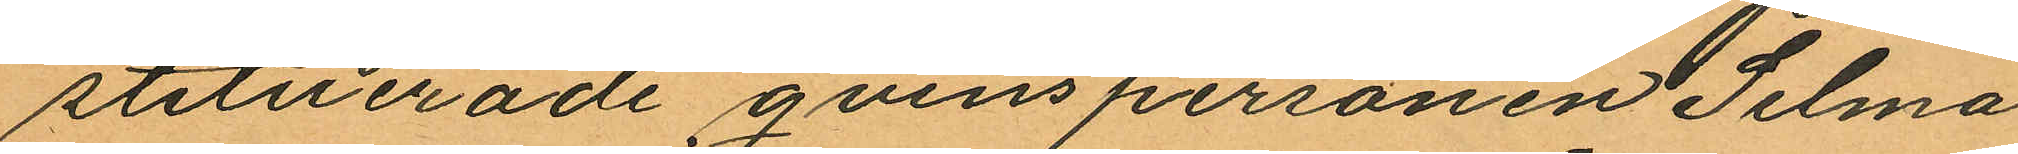stituerade qvinspersonen Selma
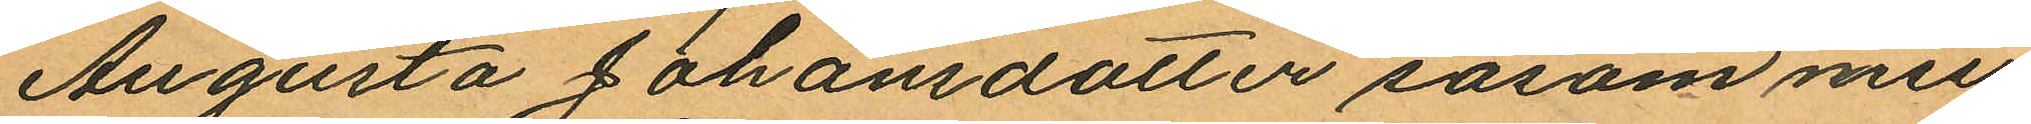Augusta Johansdotter såsom miss¬
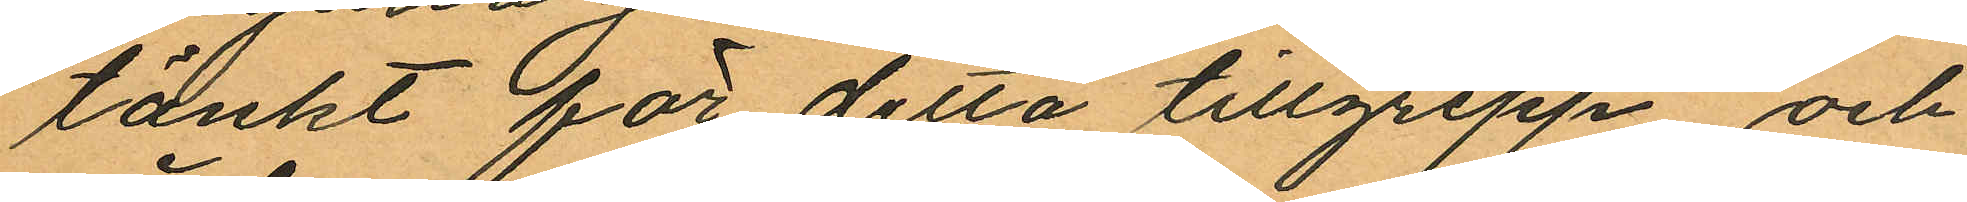tänkt för detta tillgrepp och
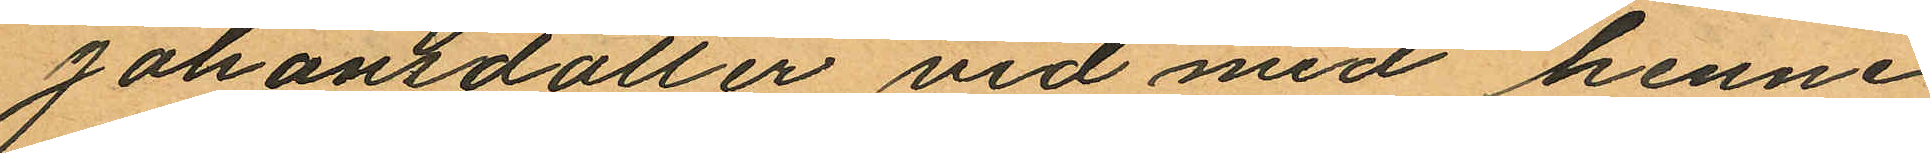Johansdotter vid med henne
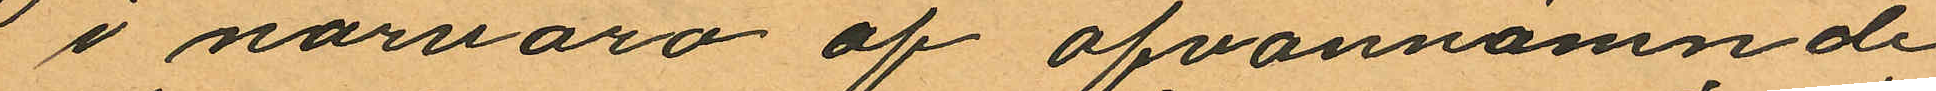i närvaro af ofvannämnde
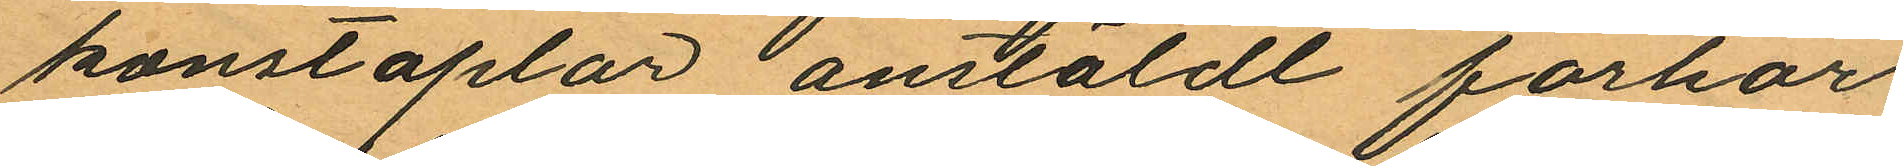konstaplar anstäldt förhör
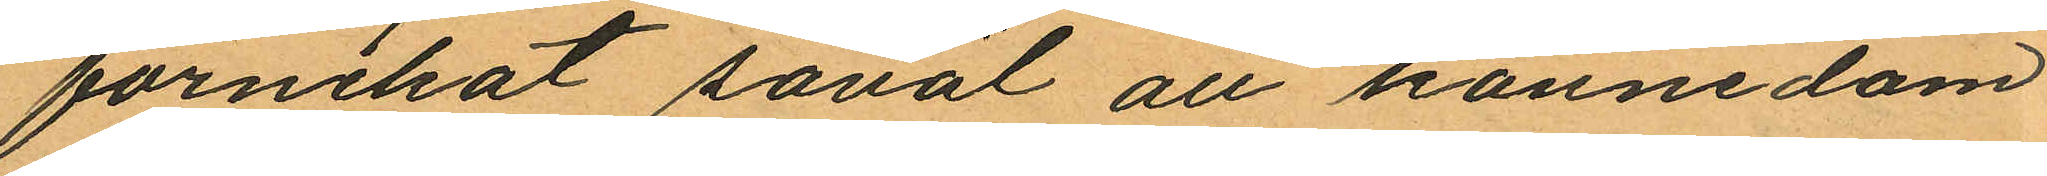förnekat såväl all kännedom
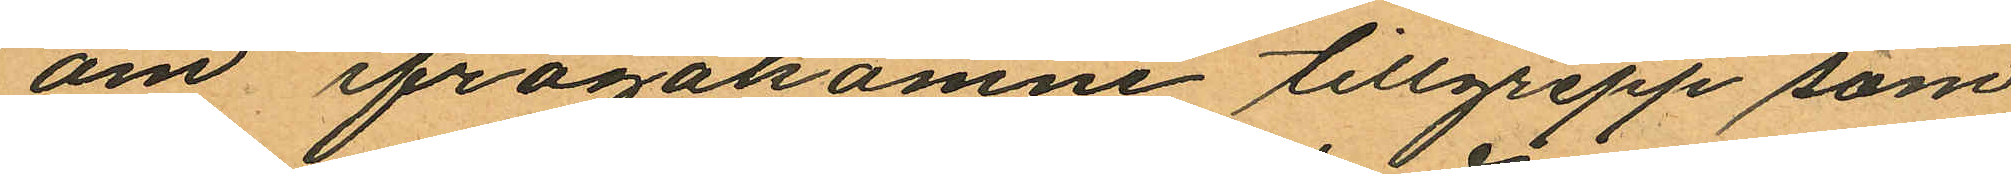om ifrågakomne tillgrepp som
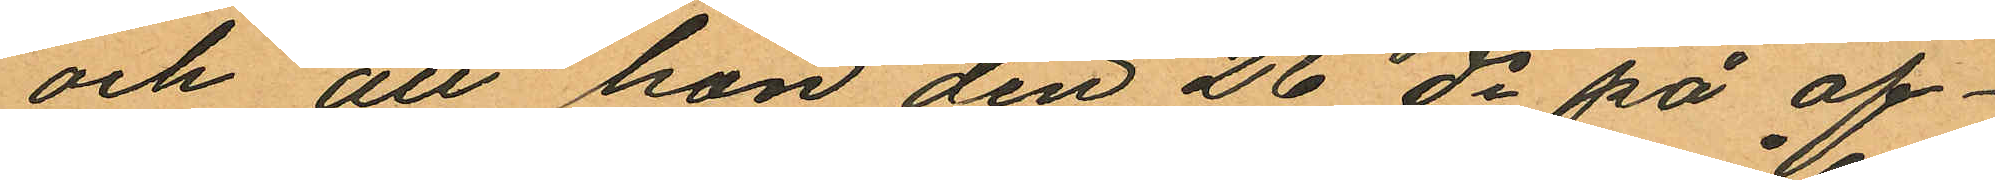och att hon den 26 ds på af¬
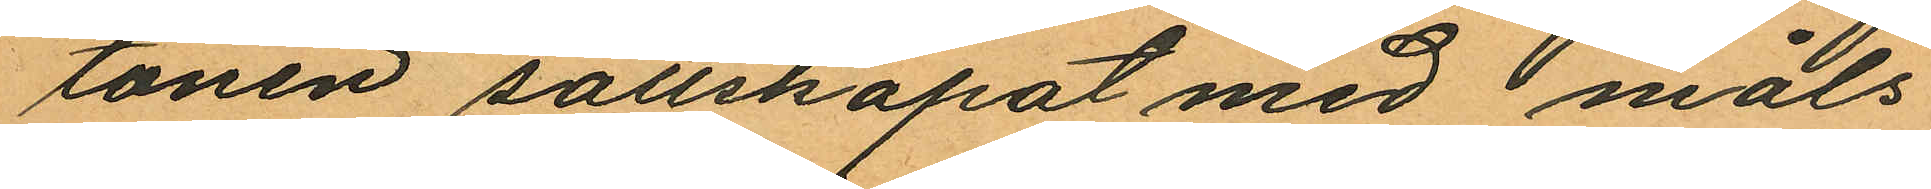tonen sällskapat med måls¬
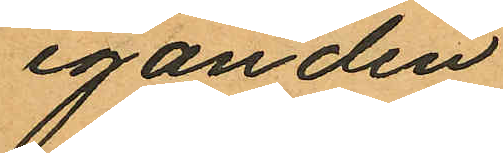eganden.
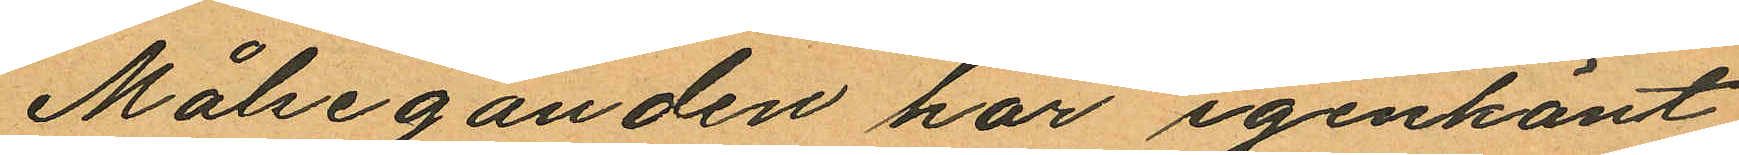Målseganden har igenkänt
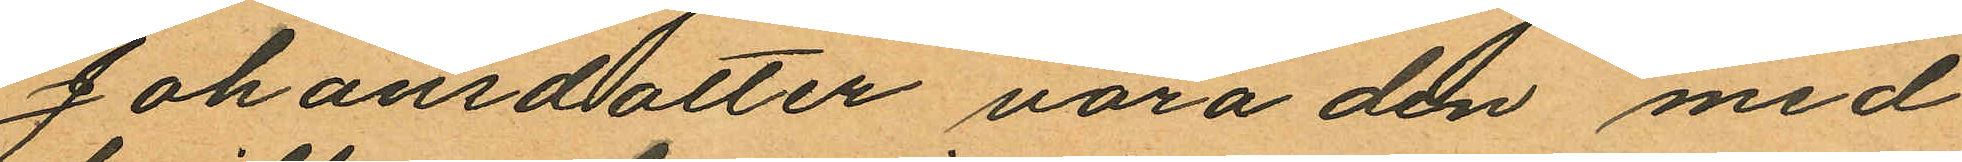Johansdotter vara den med
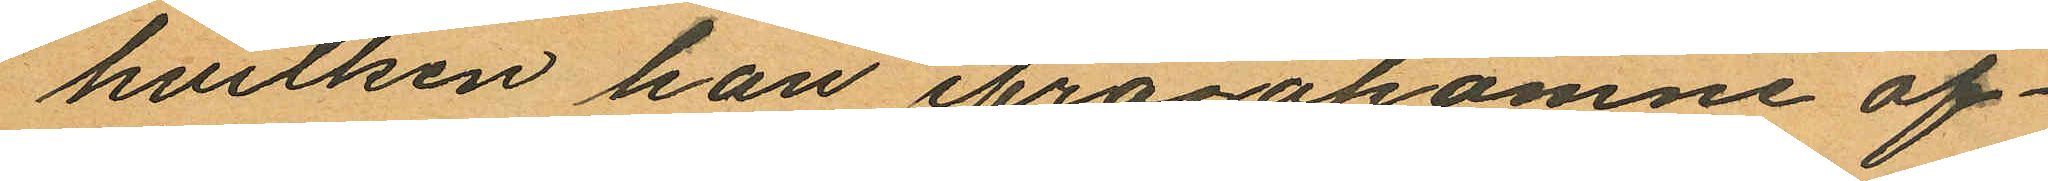hvilken han ifrågakomne af¬
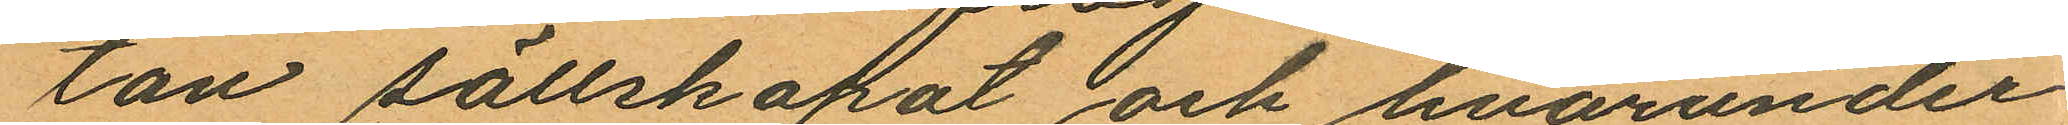ton sällskapat och hvarunder
